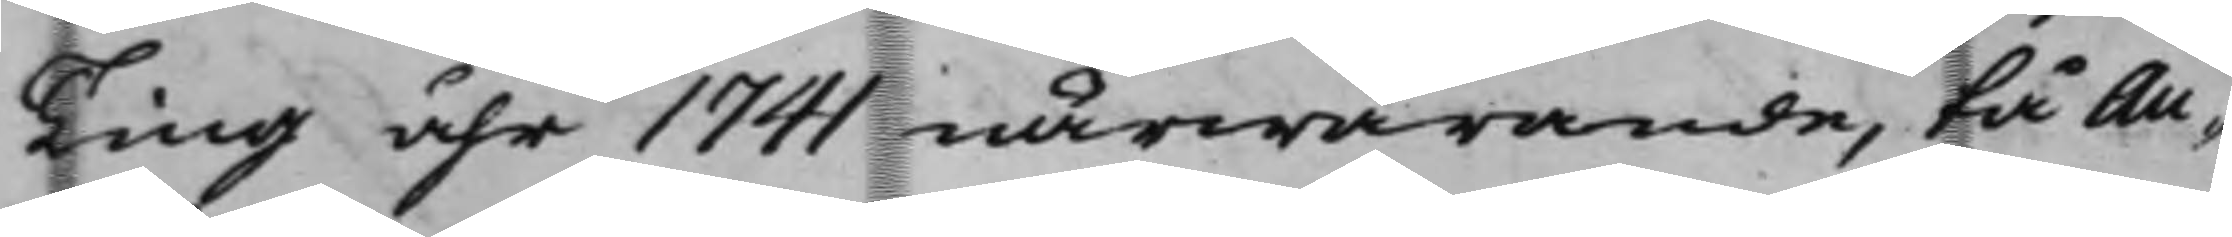Ting åhr 1741 närwarande, tå Au¬
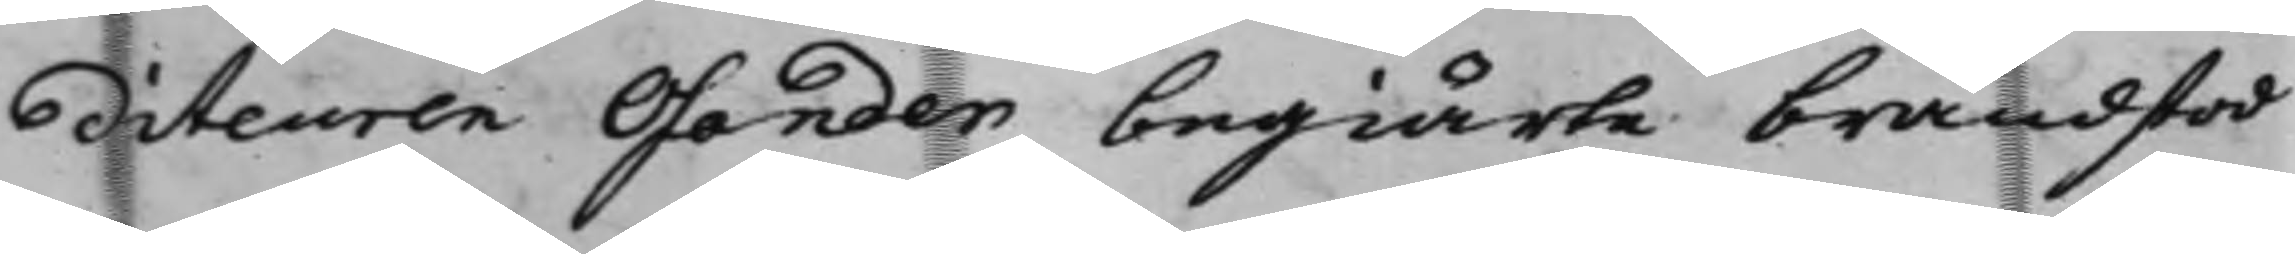diteuren Osander begiärte brandstod
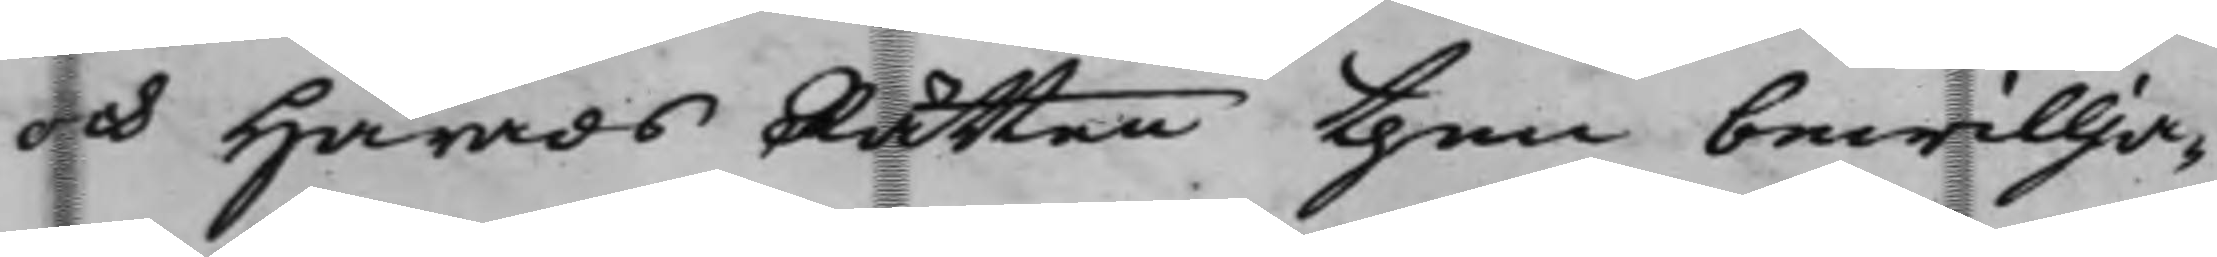och HäradsRätten then bewillja¬
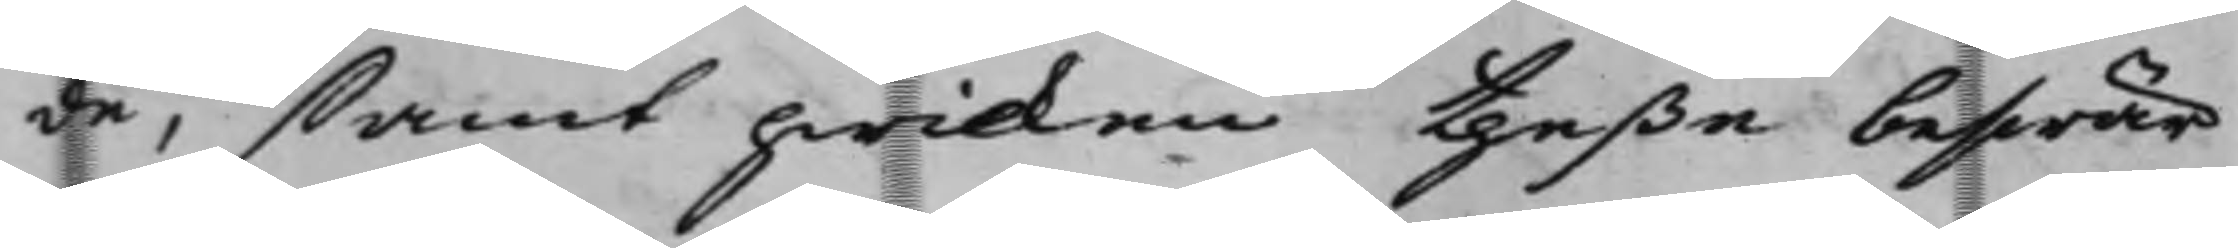de, samt hwilken theße beswär
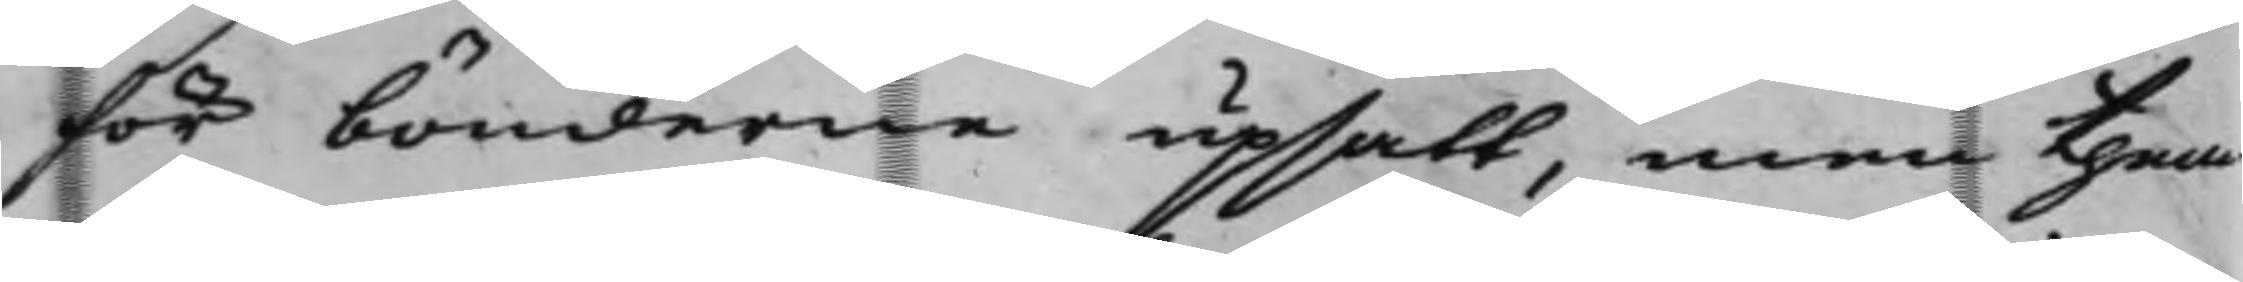för bönderne upsatt, men them
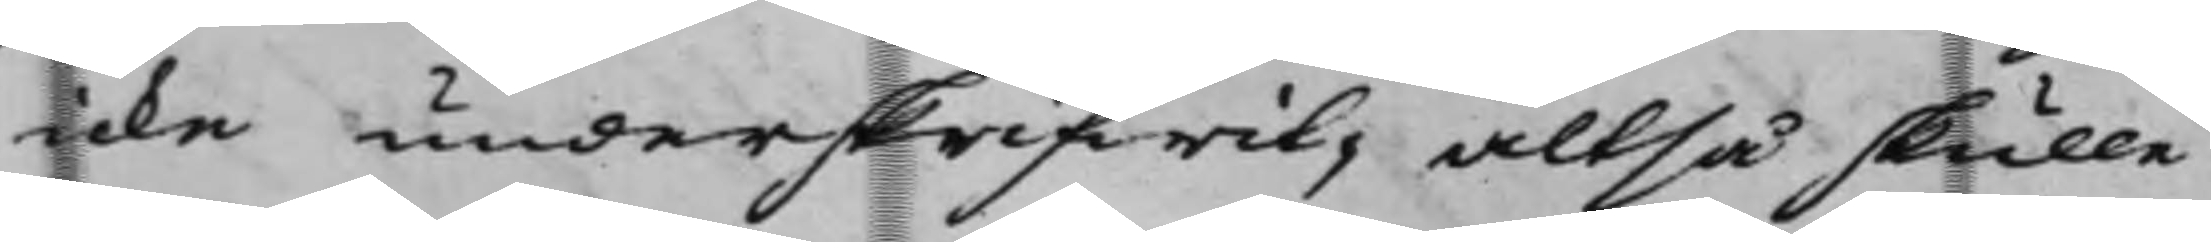icke underskrifwit, altså skulle
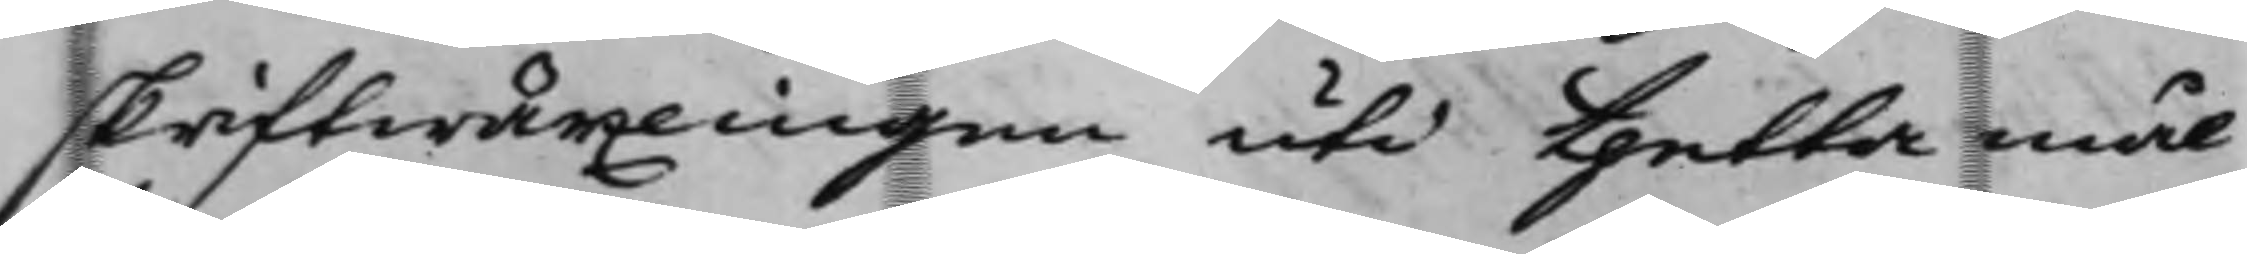skriftwäxlingen uti thetta mål
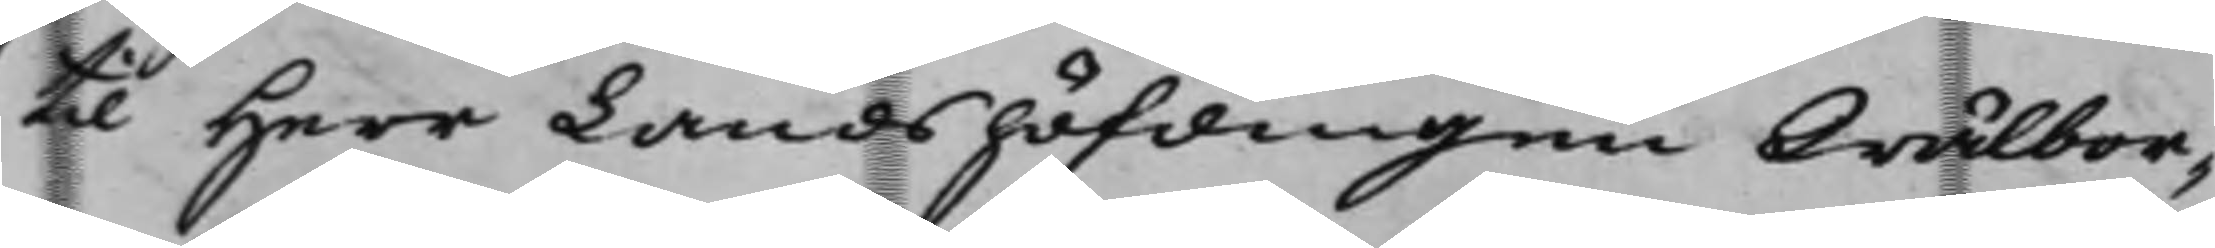til Herr Landshöfdingen Wälbor¬
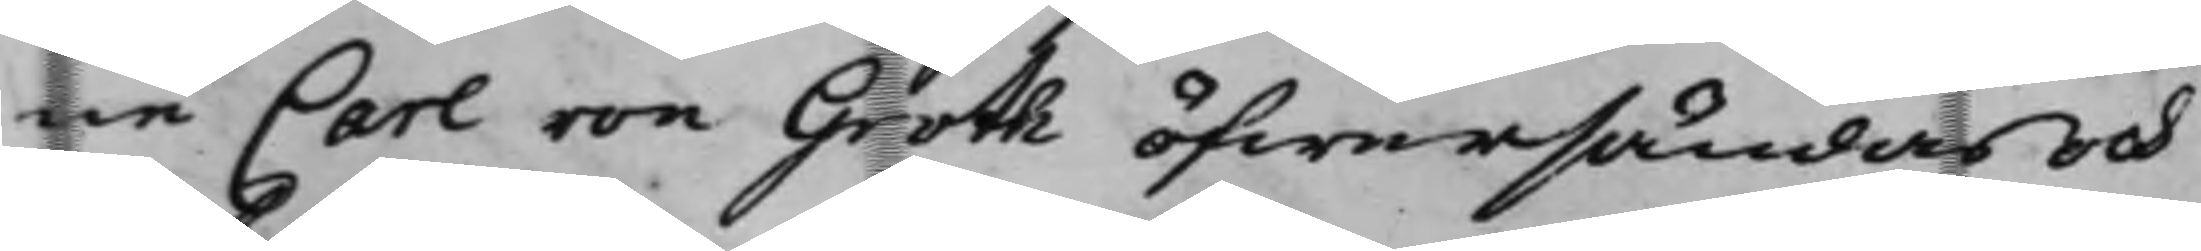ne Carl von Groth öfwersändas och
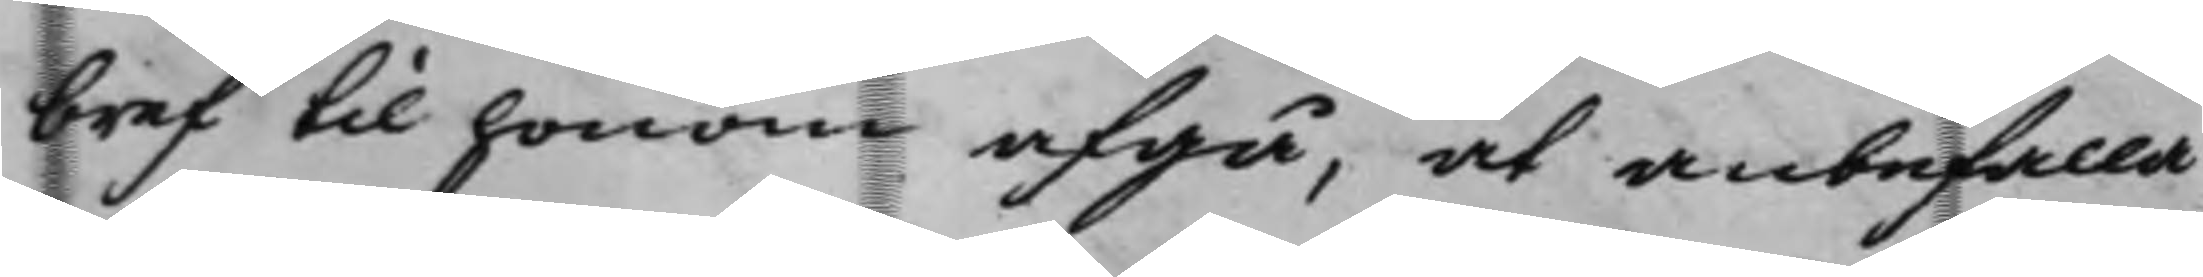bref til honom afgå, at anbefalla
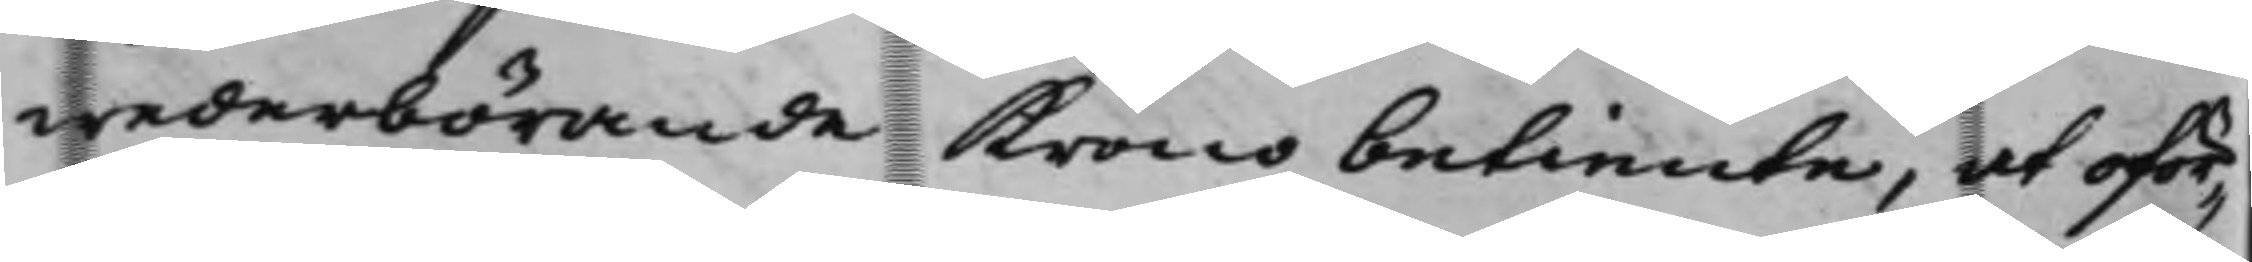wederbörande Kronobetiente, at oför¬
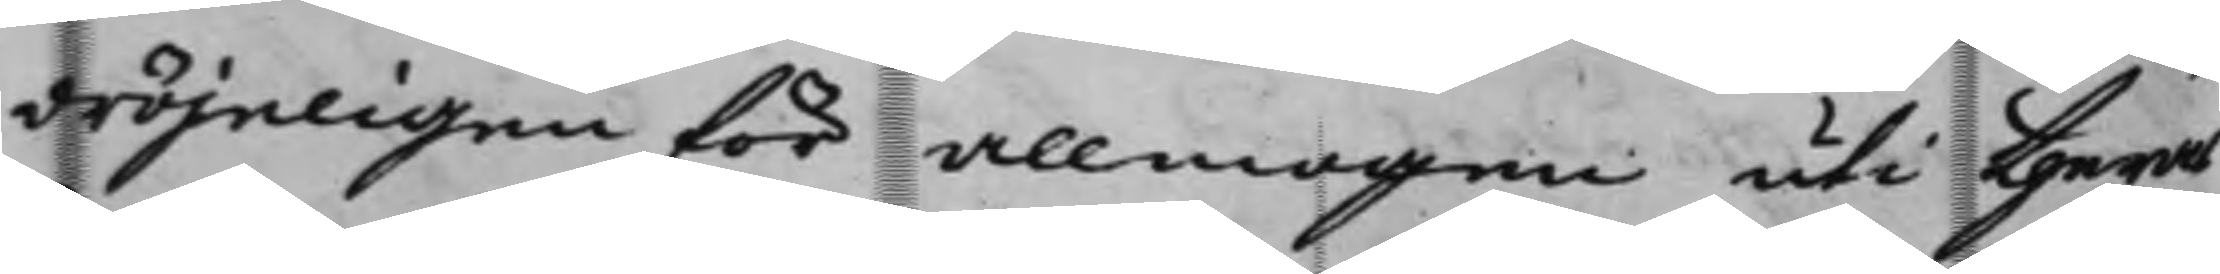dröjeligen för allmogen uti theras
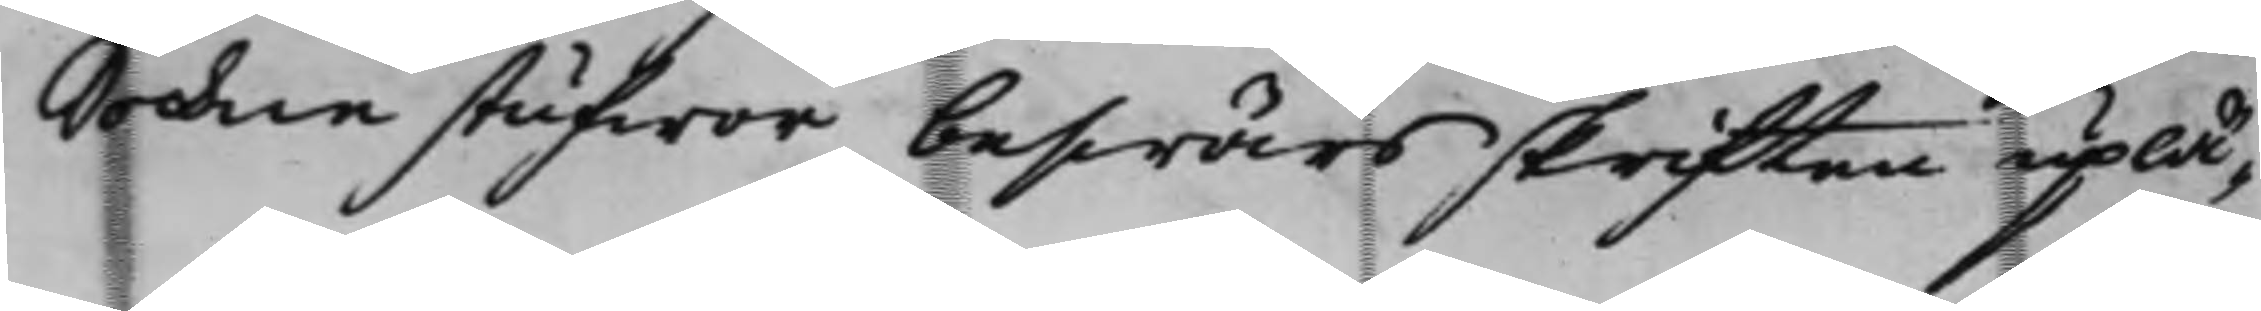Sochnestufwor beswärsskriften uplä¬
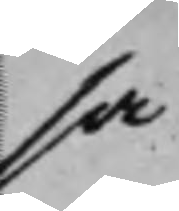sa
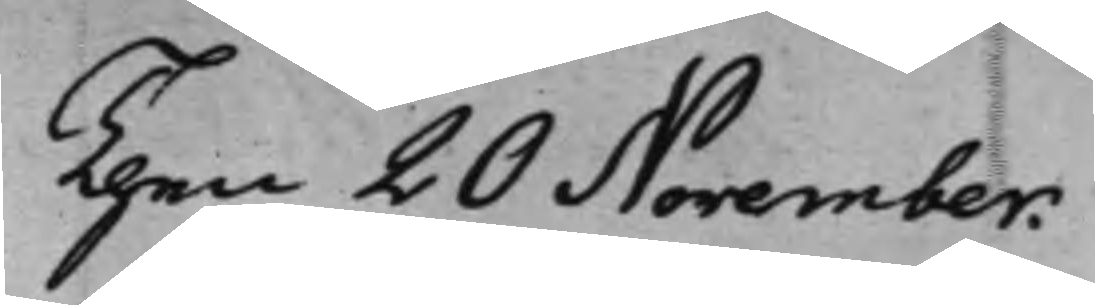Then 20 November.
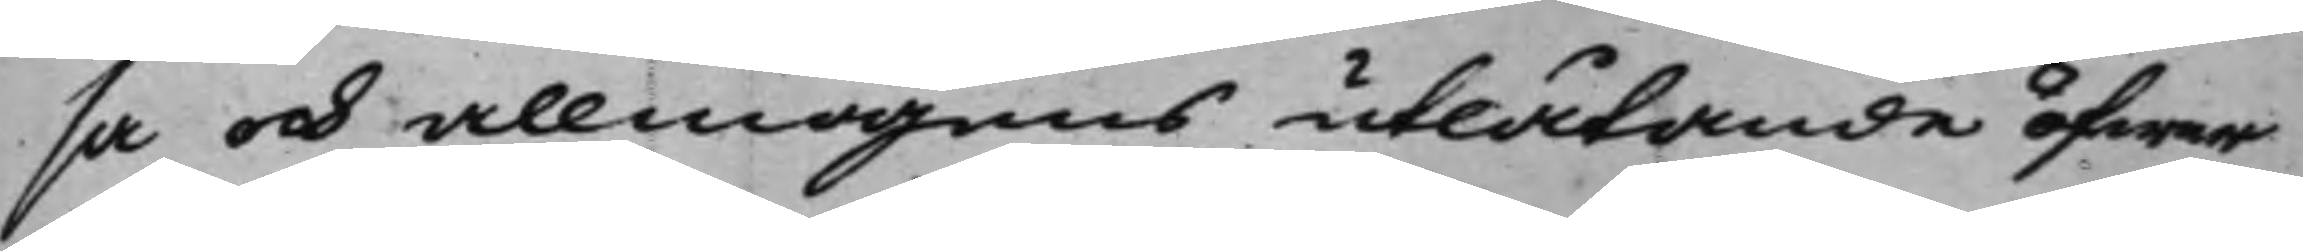sa och allmogens utlåtande öfwer
